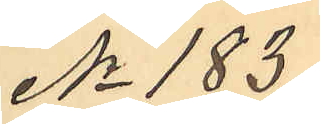No 183.
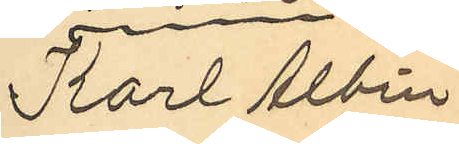Karl Ohlander
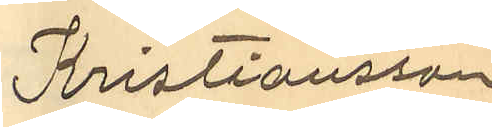Kristiansson
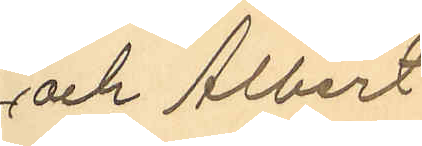och Albert
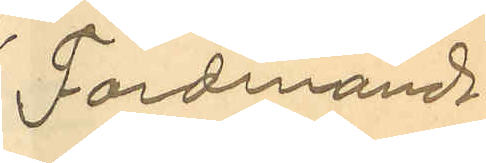Ferdinand
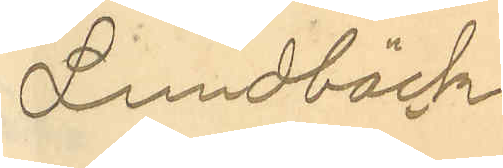Lundbäck
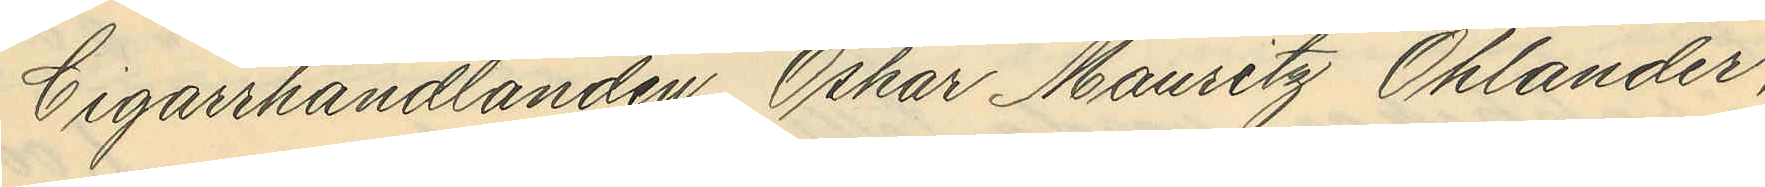Cigarrhandlanden Oskar Mauritz Ohlander,
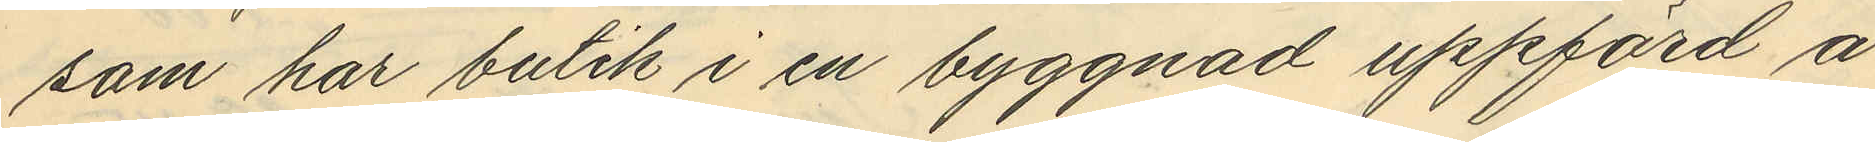som har butik i en byggnad uppförd å
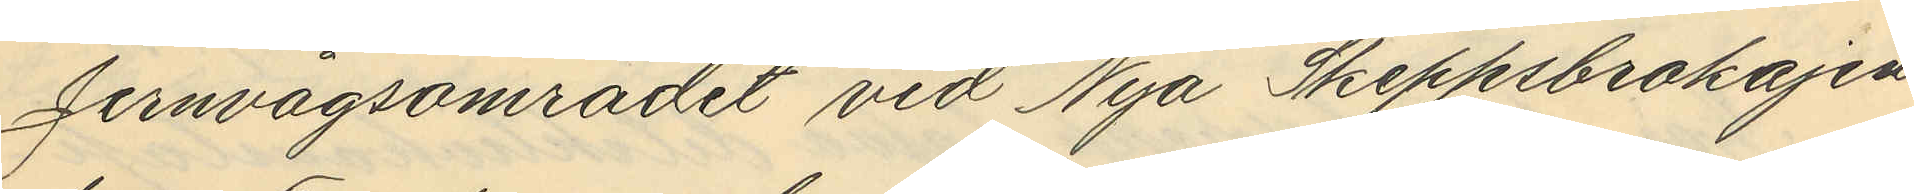Jernvågsområdet vid Nya Skeppsbrokajen
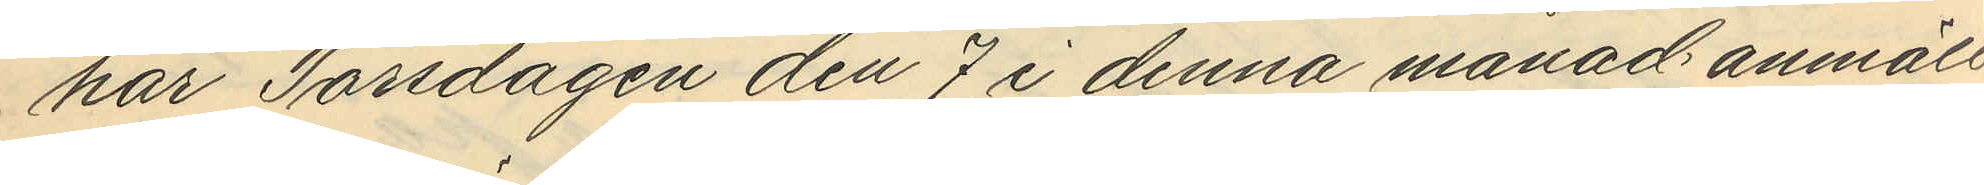har Torsdagen den 7 i denna månad anmält
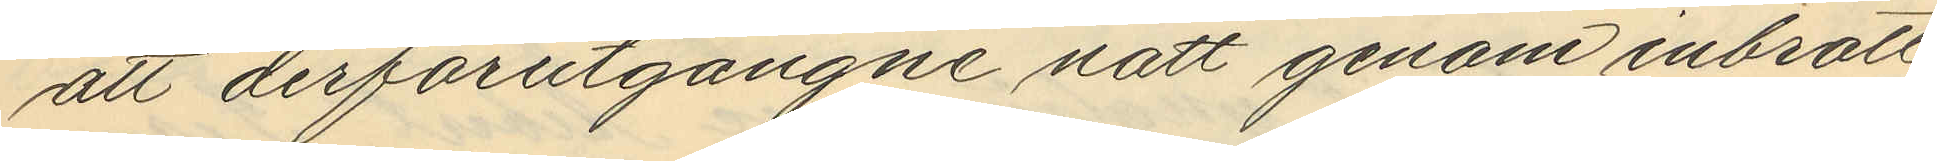att derförutgångne natt genom inbrott
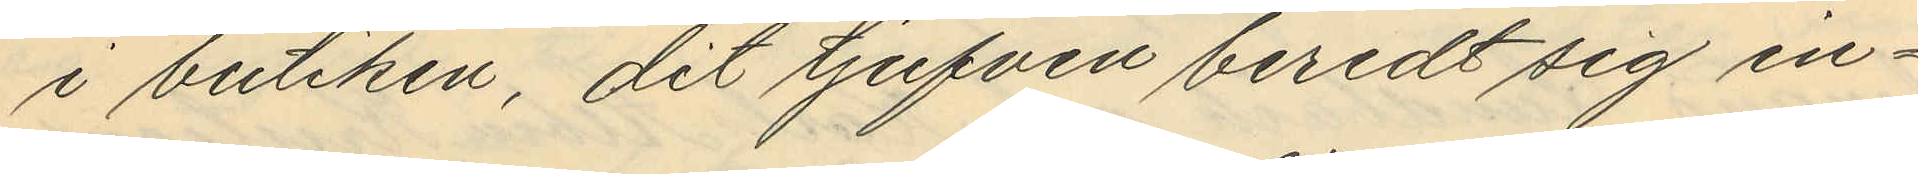i butiken, dit tjufven beredt sig in¬
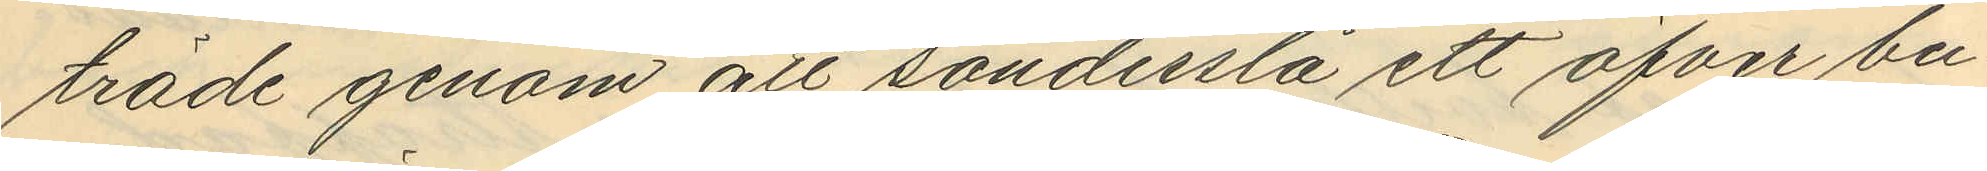träde genom att sönderslå ett öfver bu¬
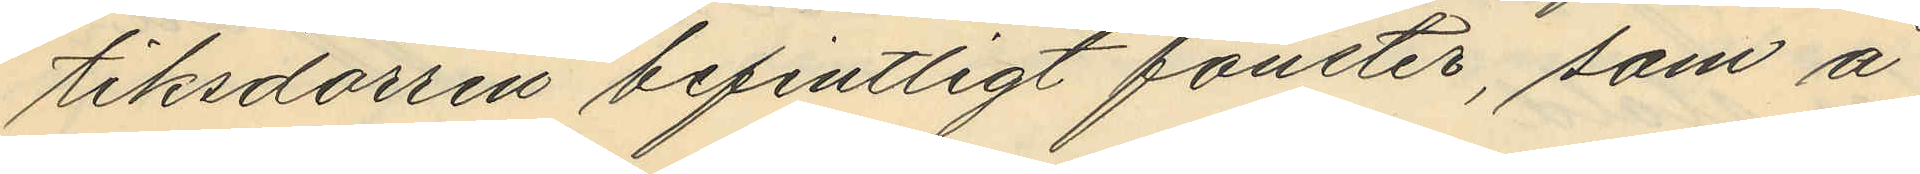tiksdörren befintligt fönster, som å
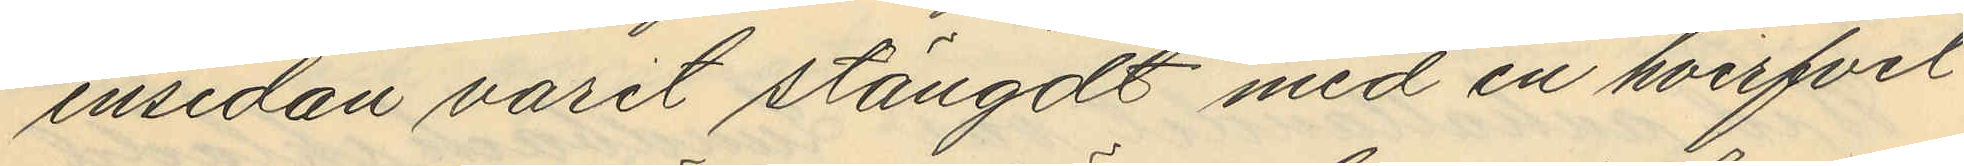insidan varit stängdt med en hvirfvel
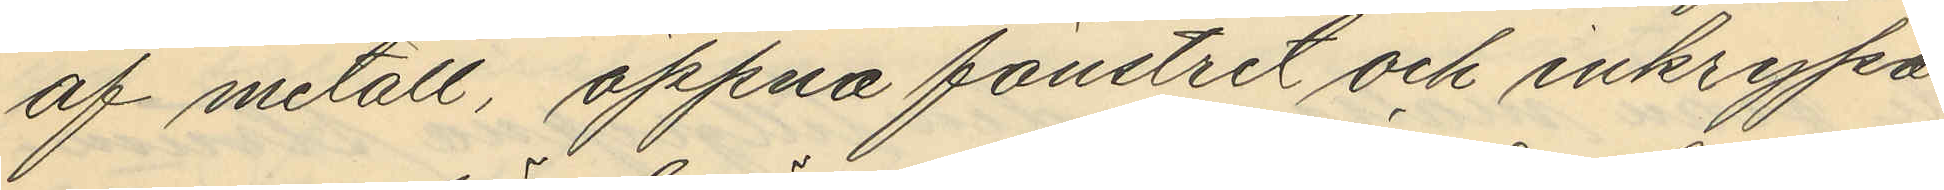af metall, öppna fönstret och inkrypa
